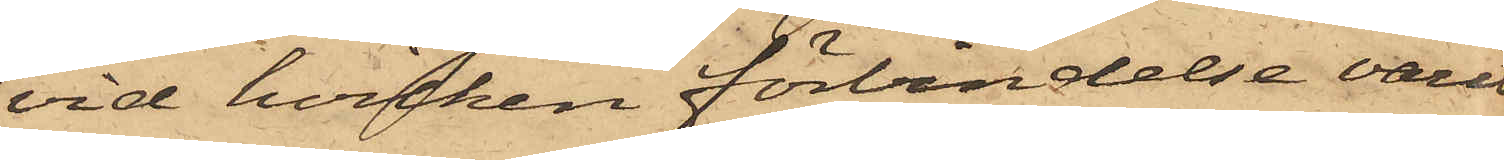vid hvilken förbindelse varit
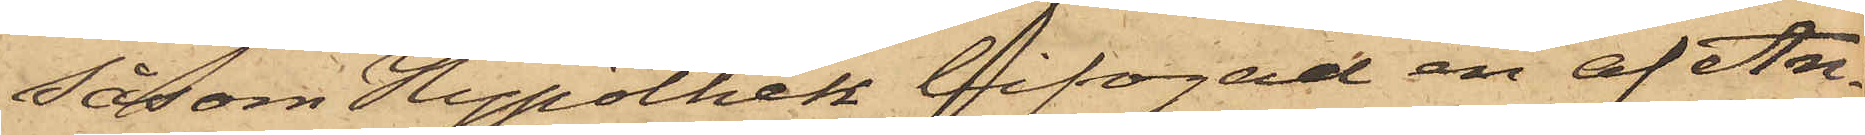såsom Hypothek bifogad en af An¬
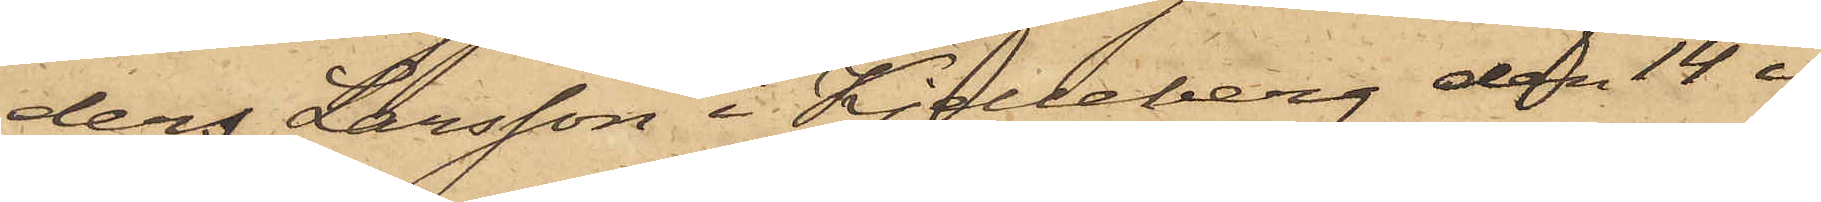ders Larsson i Kjelleberg den 14 i
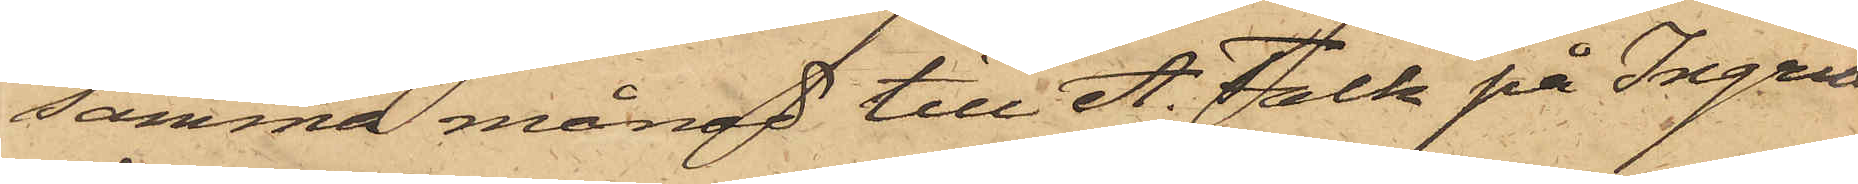samma månad till A. Falk på Ingria¬
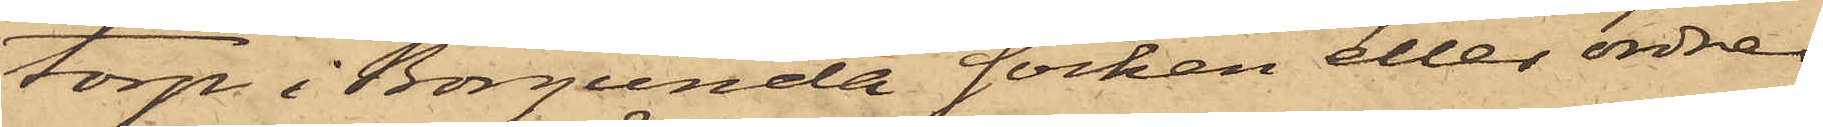torp i Borgunda socken eller ordres
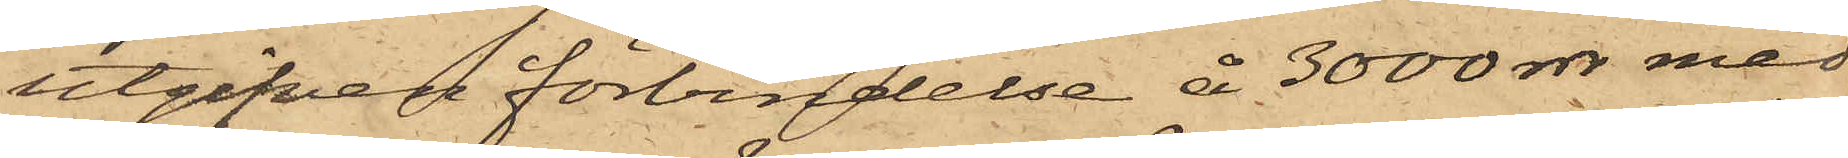utgifven förbindelse å 3000 rdr med
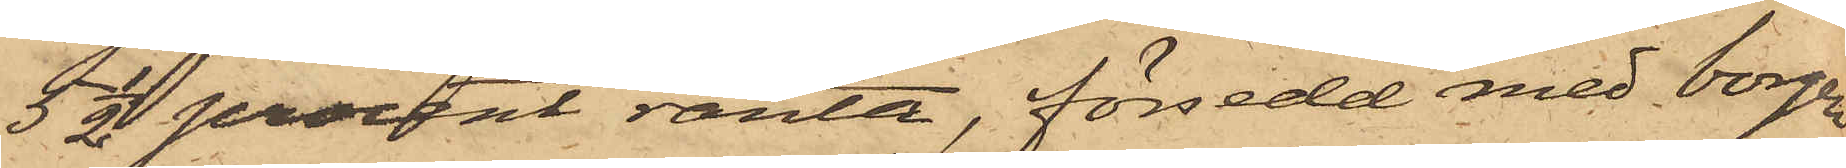5 1/2 procent ränta, försedd med borgen
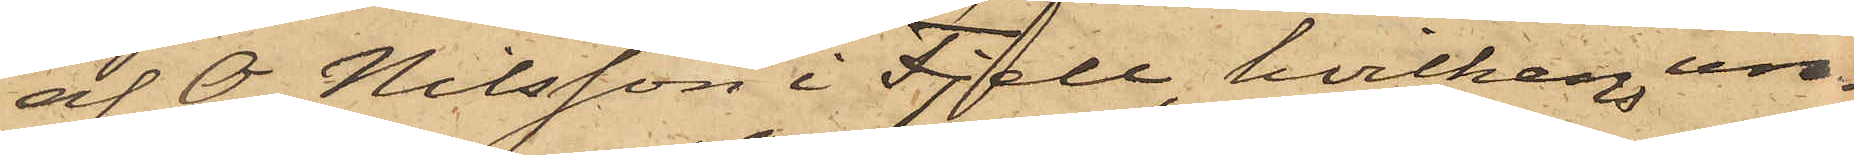af O. Nilsson i Fjell, hvilken un¬
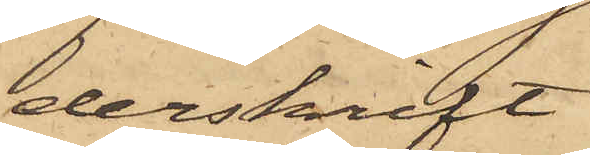derskrift
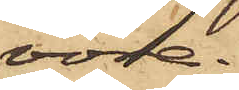vore
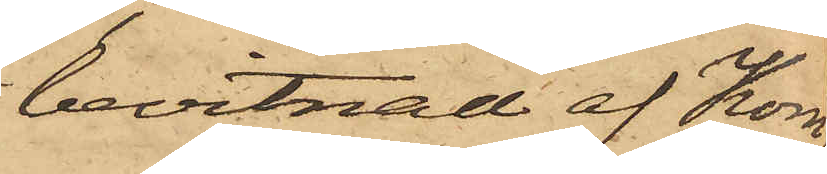bevitnad af Kom¬
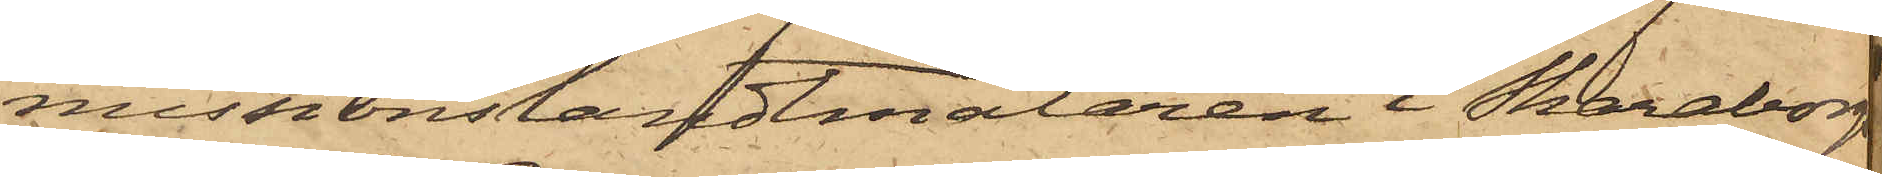missionslandtmälaren i Skaraborgs
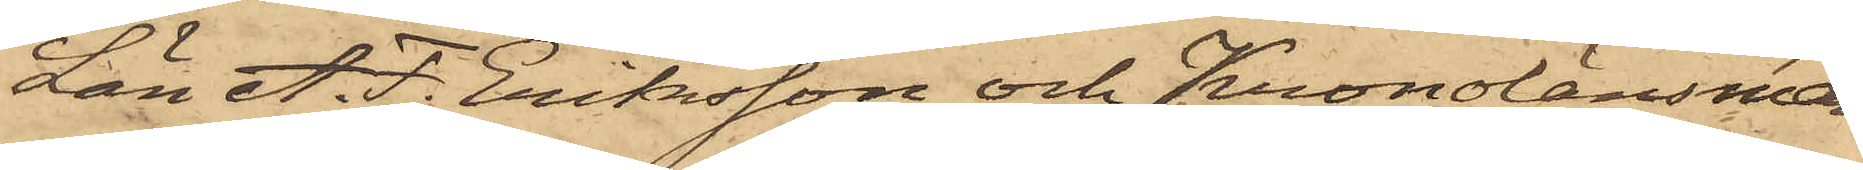Län A. F. Eriksson och Kronolänsman¬
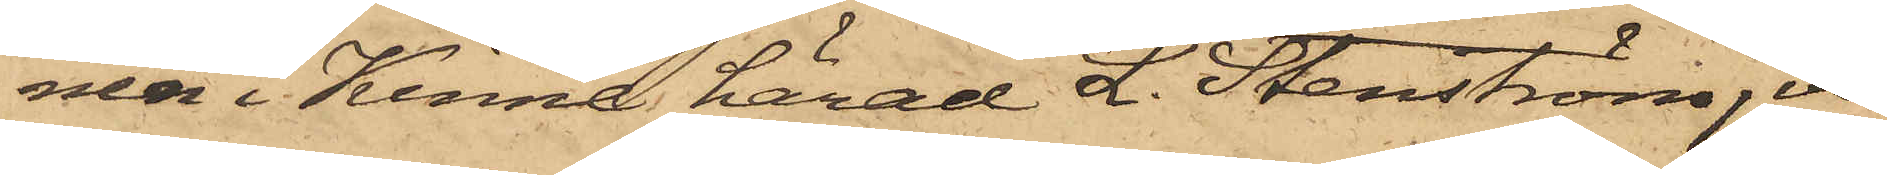nen i Kinna härad L. Stenström, va¬
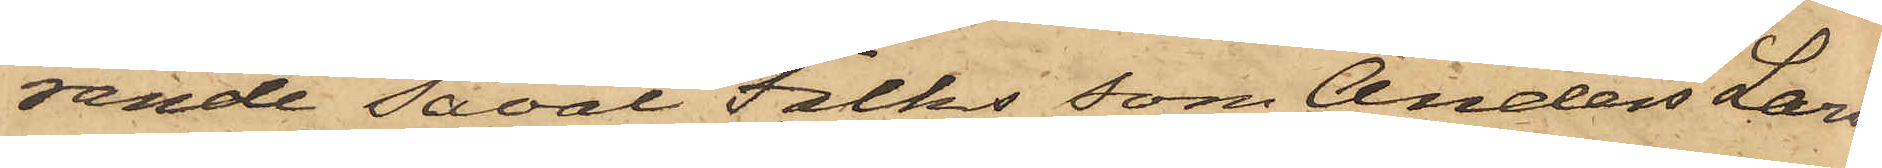rande såväl Falks som Anders Lars¬
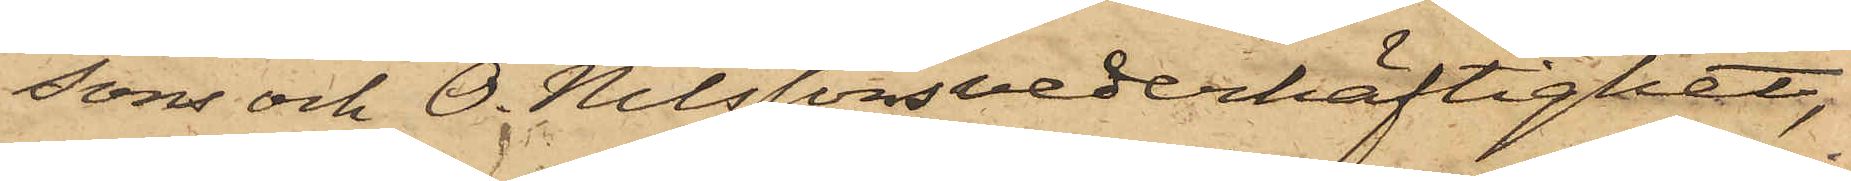sons och O. Nilssons vederhäftighet,
